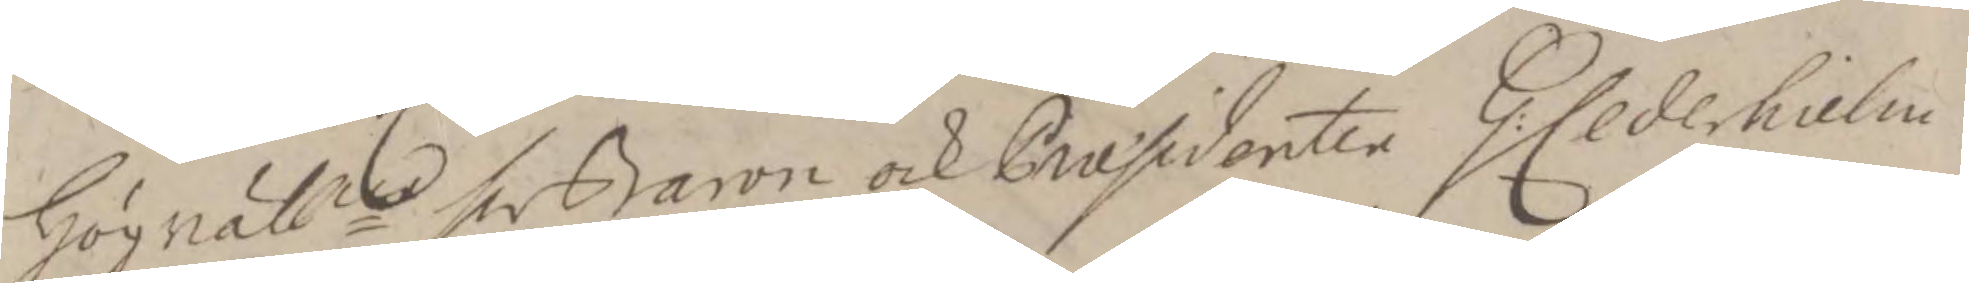Högvälne hr Baron och Præsidenten G: Cederhielm
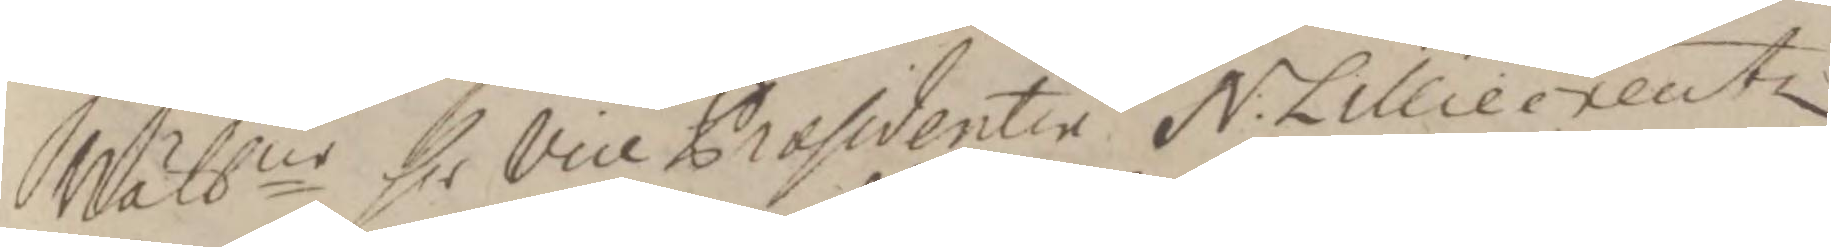Wälbne hr vice Præsidenten N: Lilliecreutz
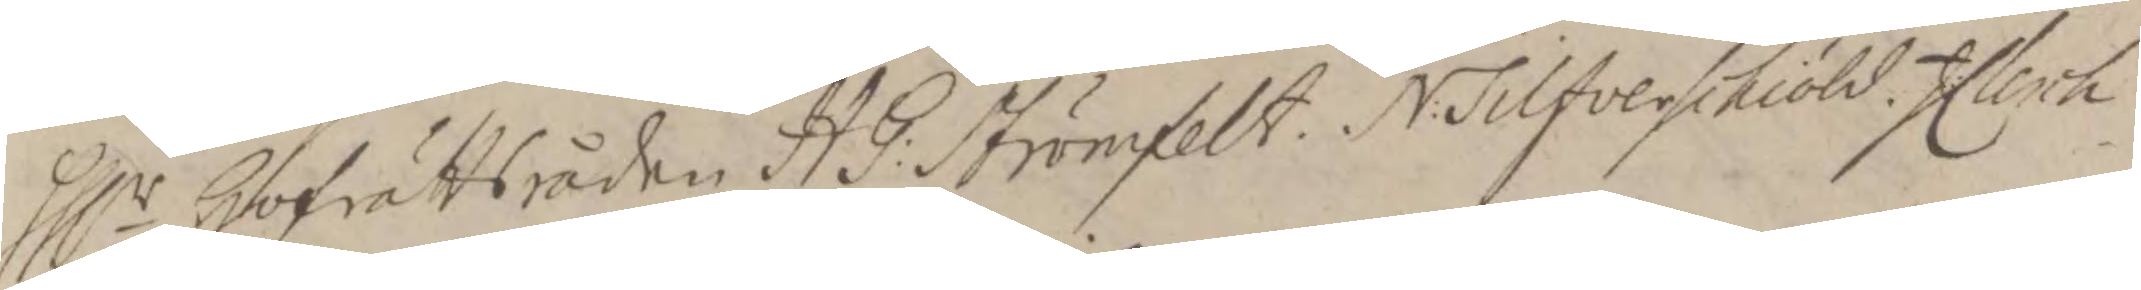Hlr Hofrättsråden HG: Strömfeldt. N: Silfverschiöld. J:Clerch
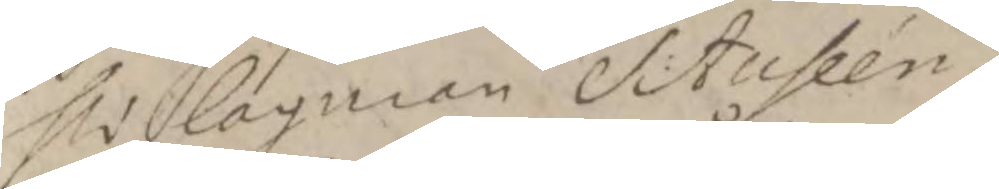hr lagman S:Auseén.
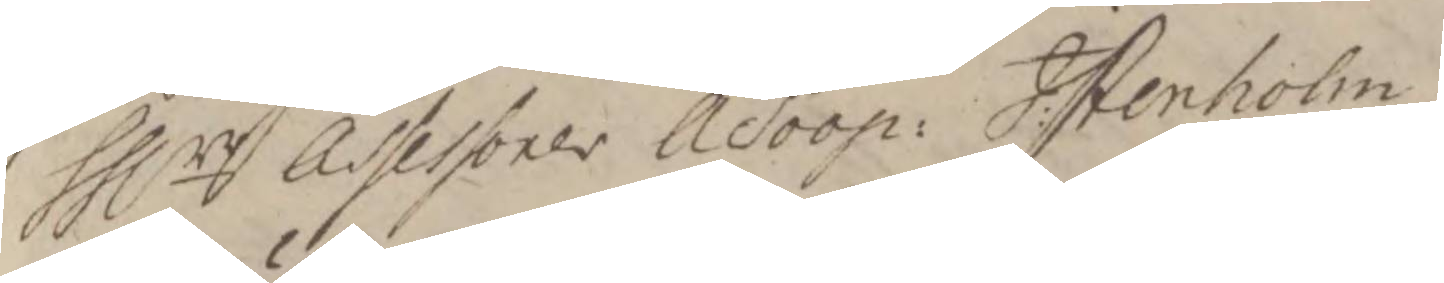hllrr Assessorer Å Soop: J: Stenholm
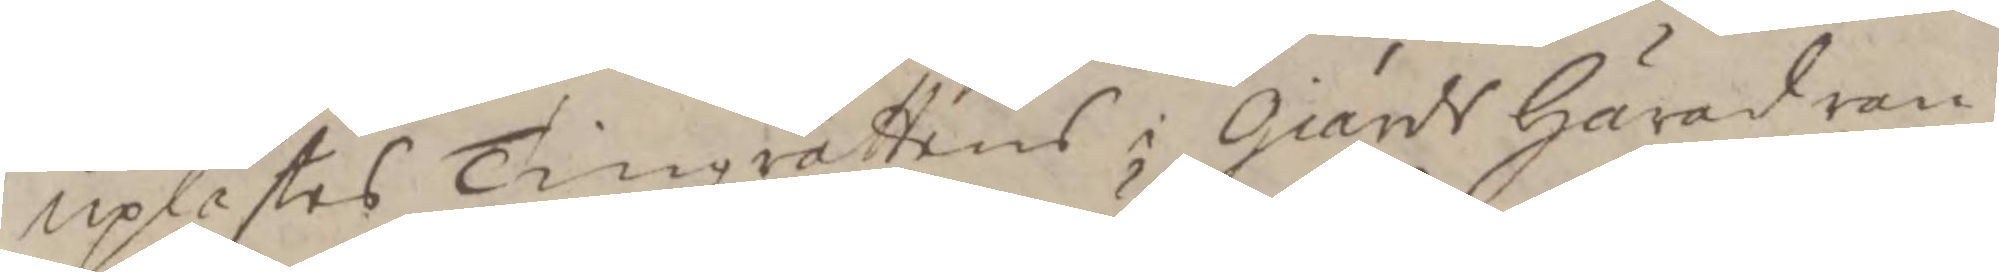uplästes Tingzrättens i Giärds Härad ran¬
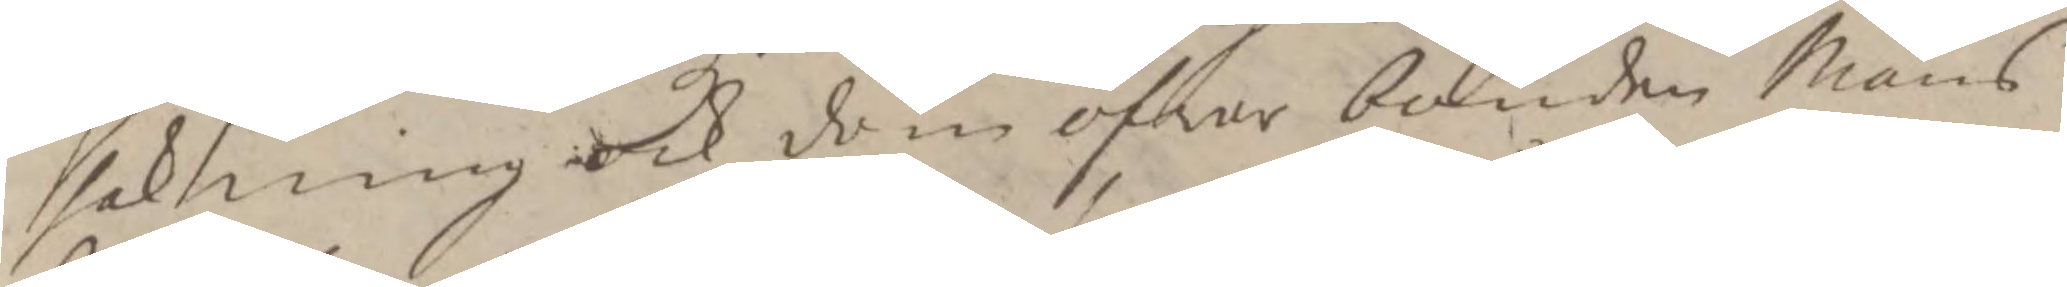sakning ock dom öfwer bonden Måns
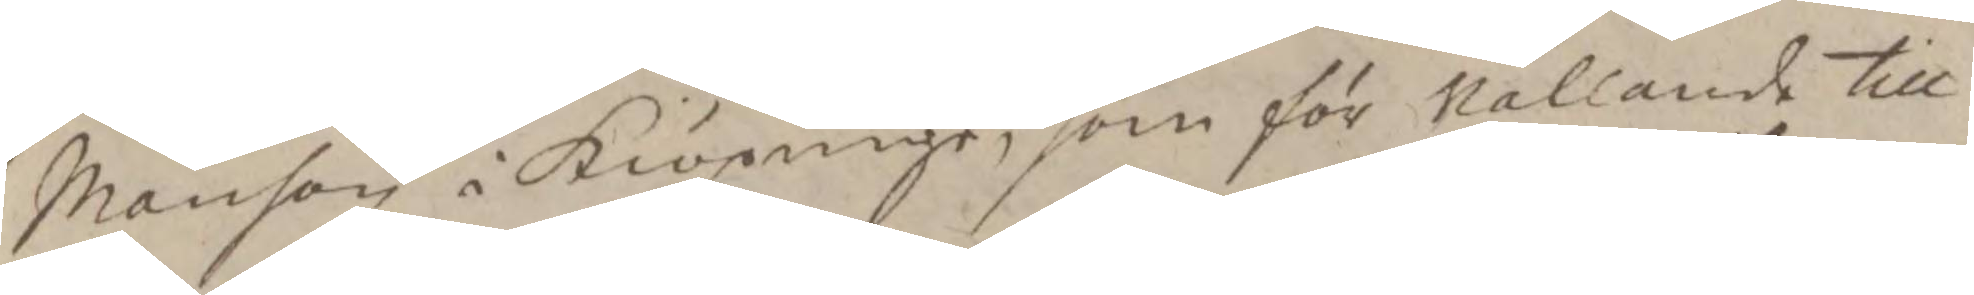Månson i Kiöpinge, som för Vållande till
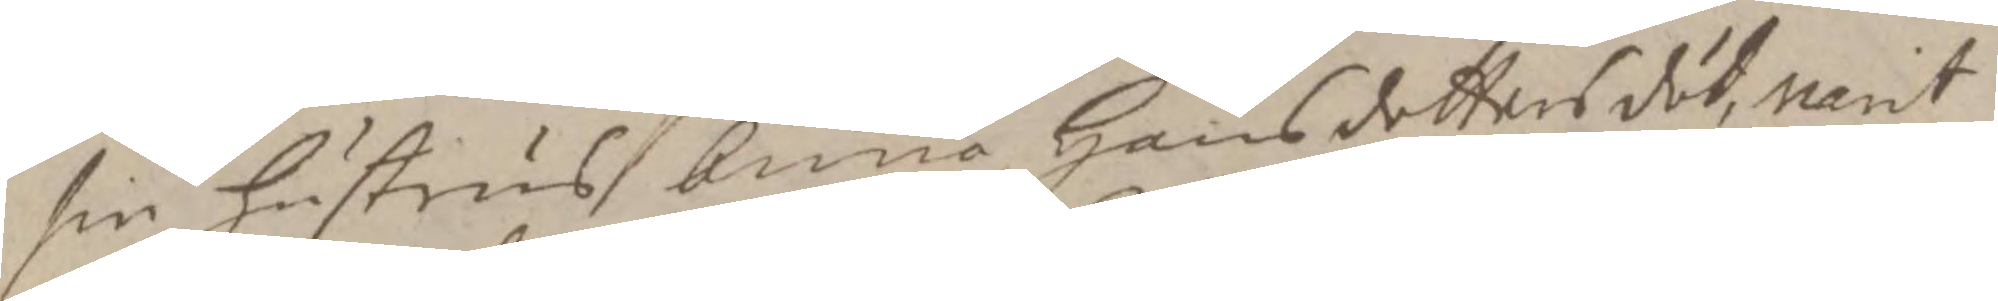sin hustrus bnno Hansdotters död, varit
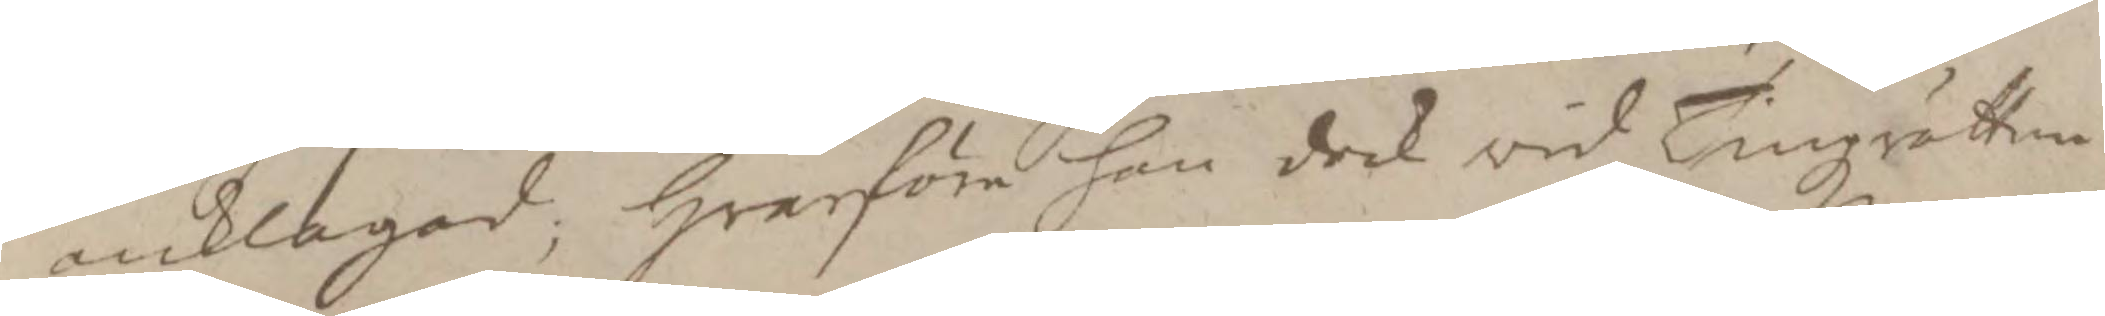anklagad; Hvarföre han dock vid Tingzrätten
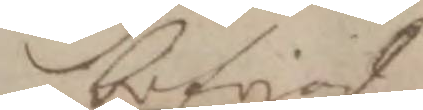blifvit
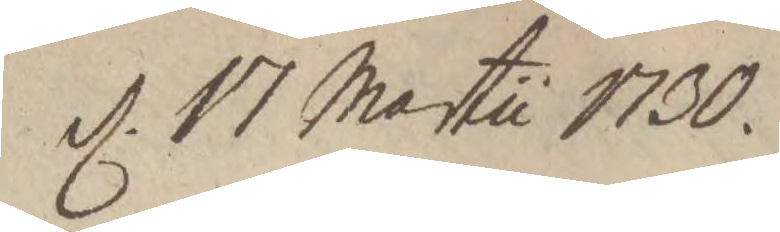d. 17 Martii 1730.
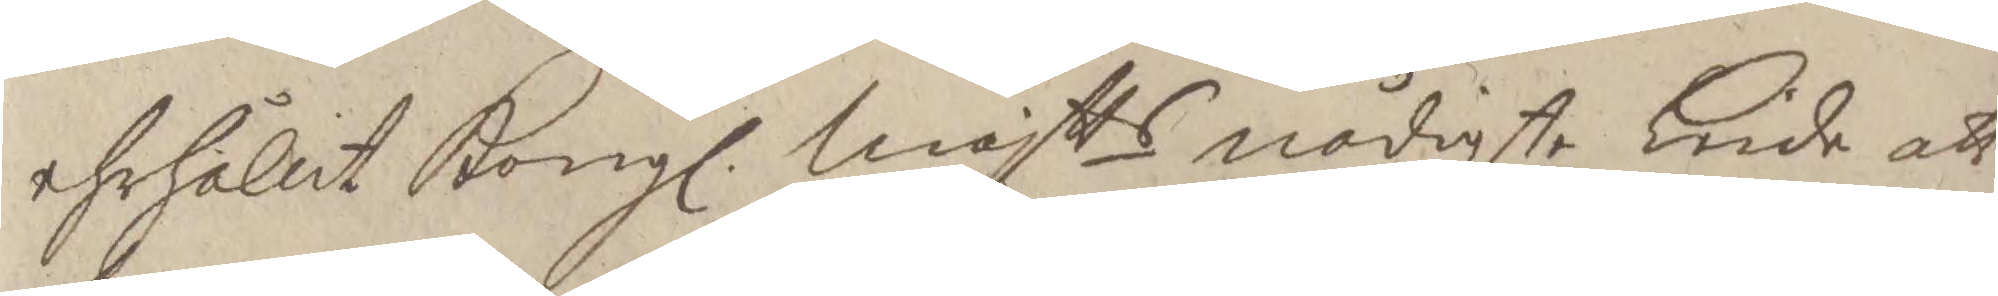ehrhållit Kongl. Majtts nådigste Kiede att
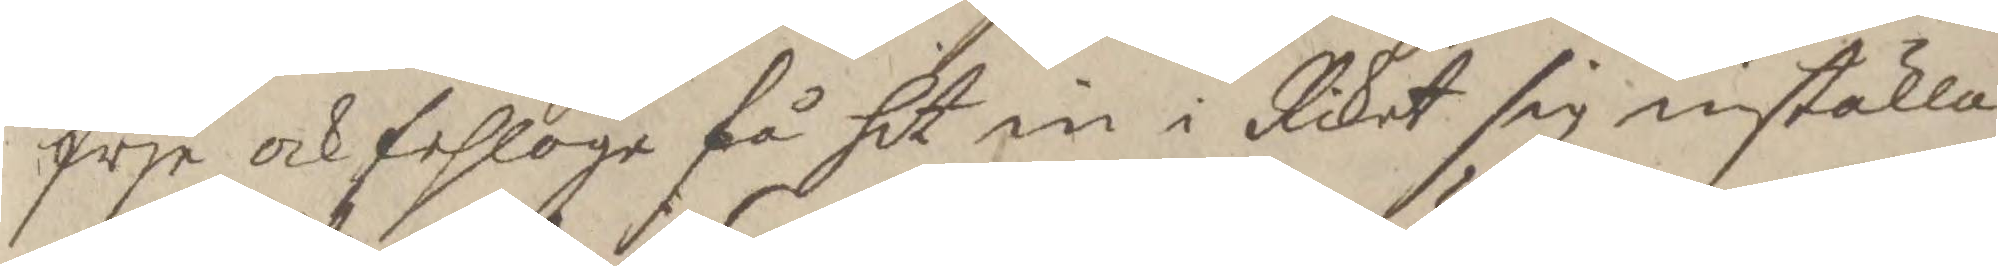frje och fehloge få hit in i Riket sig inställa,
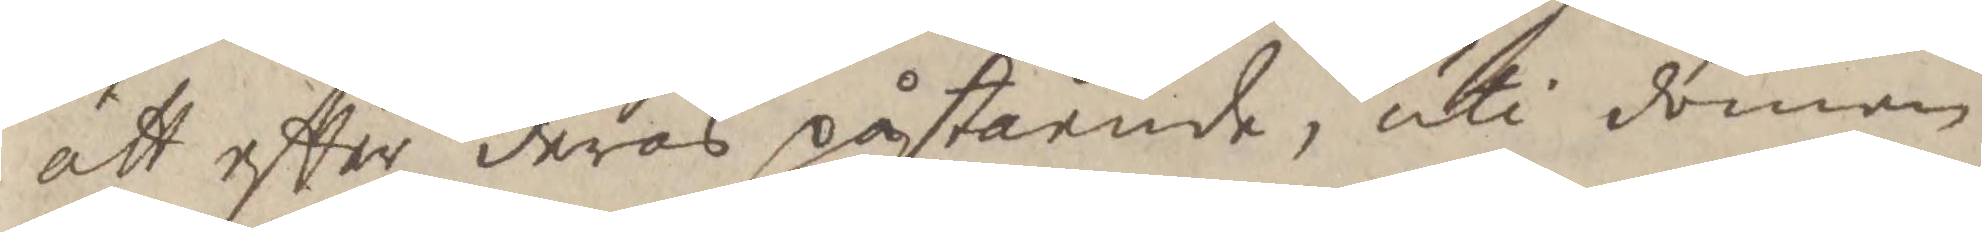att efter deras påstående, uti domen
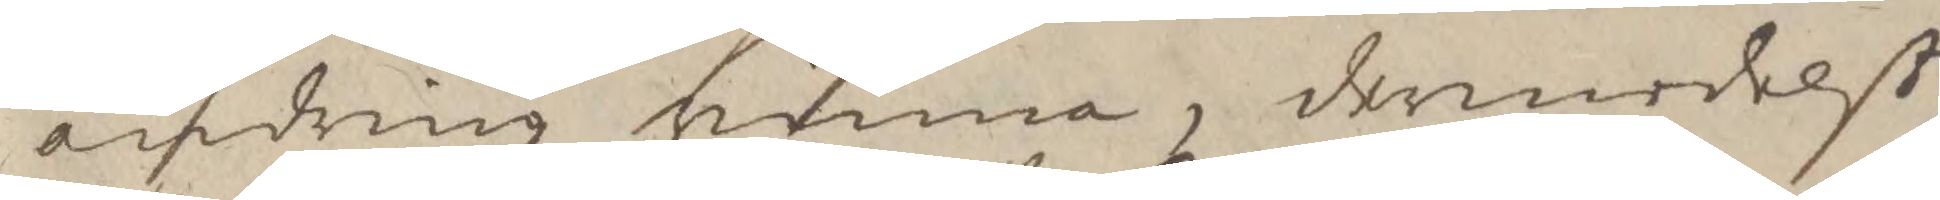ändring vinna, dermedelst
